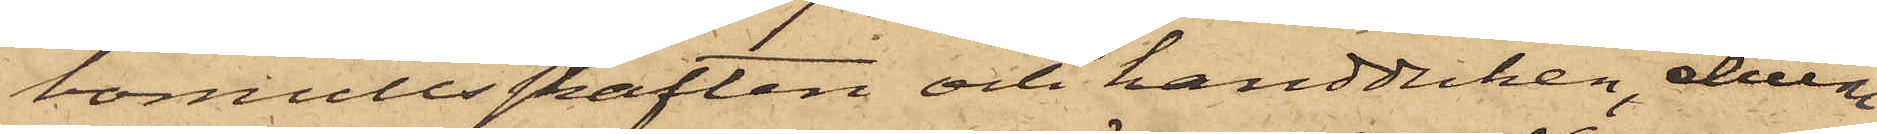bomullsskaften och handduken, ehuru
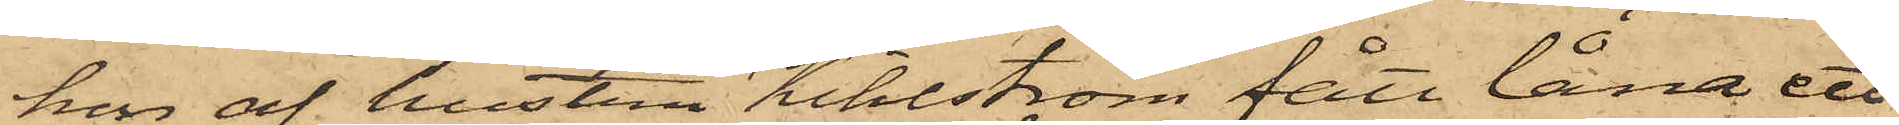hon af hustru Kihlström fått låna ett
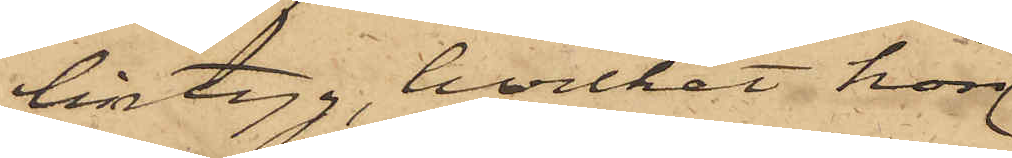lintyg, hvilket hon
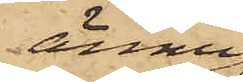ännu
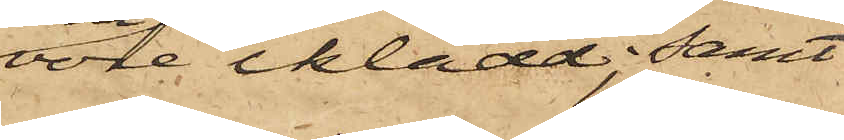vore iklädd; samt
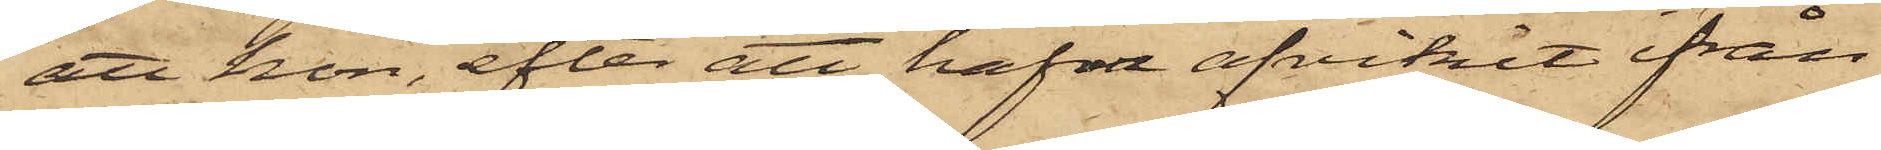att hon, efter att hafva afvikit från
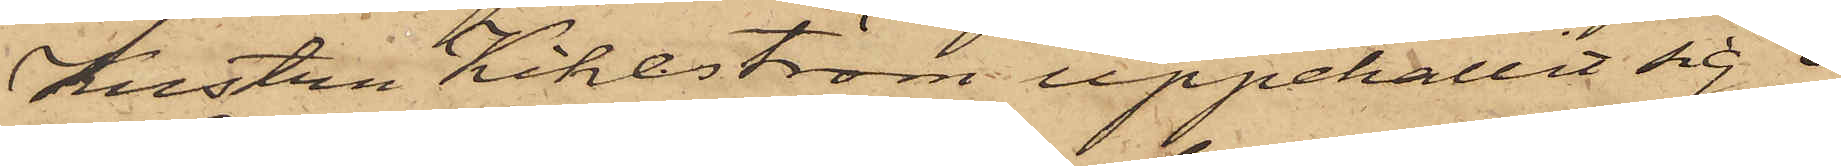Hustru Kihlström uppehållit sig i
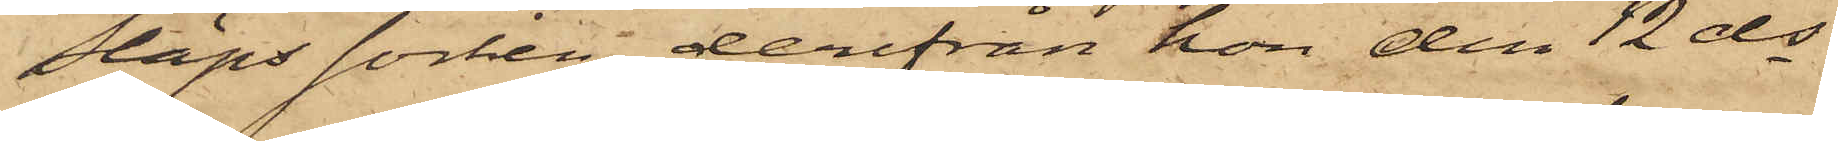Släps socken, derifrån hon den 12 ds
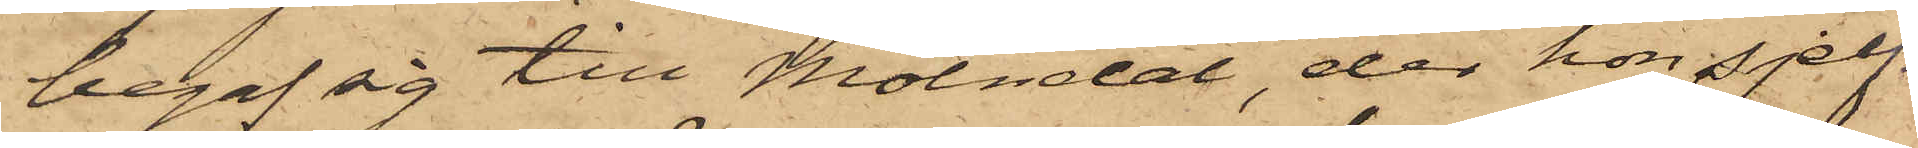begaf sig till Mölndal, der hon sjelf¬
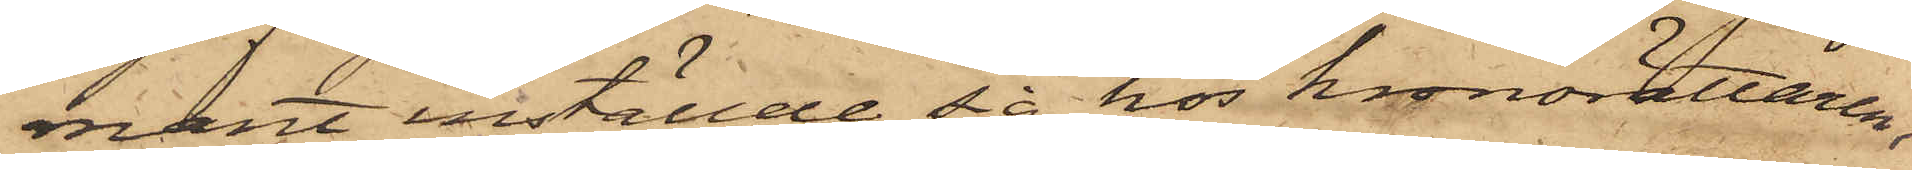mant inställde sig hos kronorättaren,
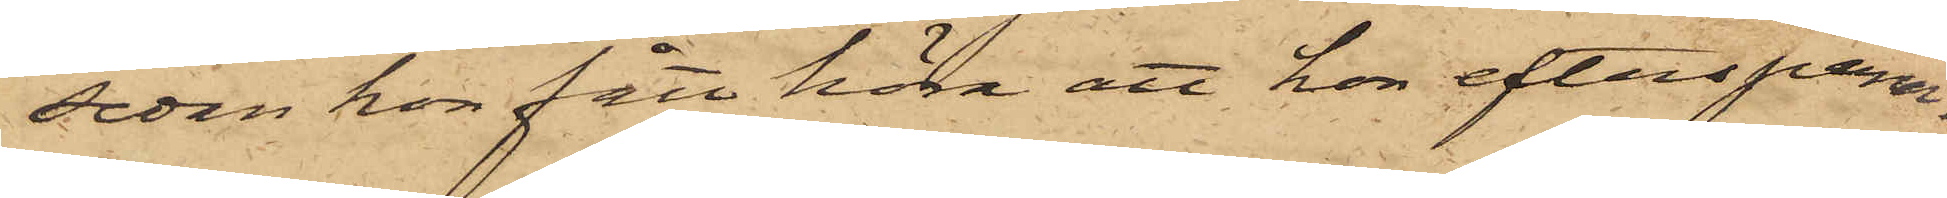sedan hon fått höra att hon efterspana¬
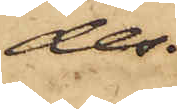des.
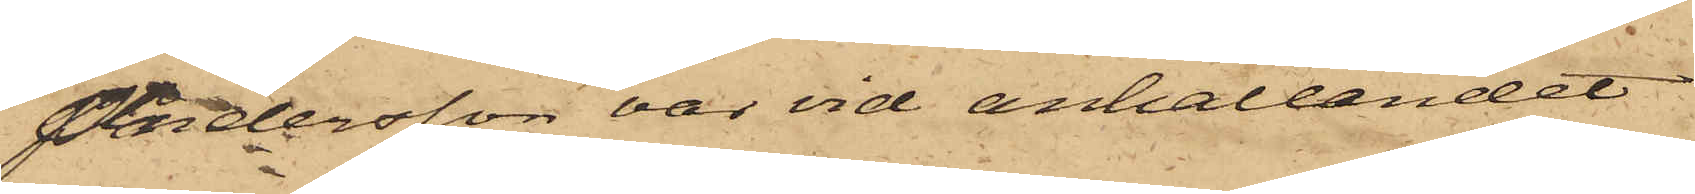Andersson var vid anhållandet
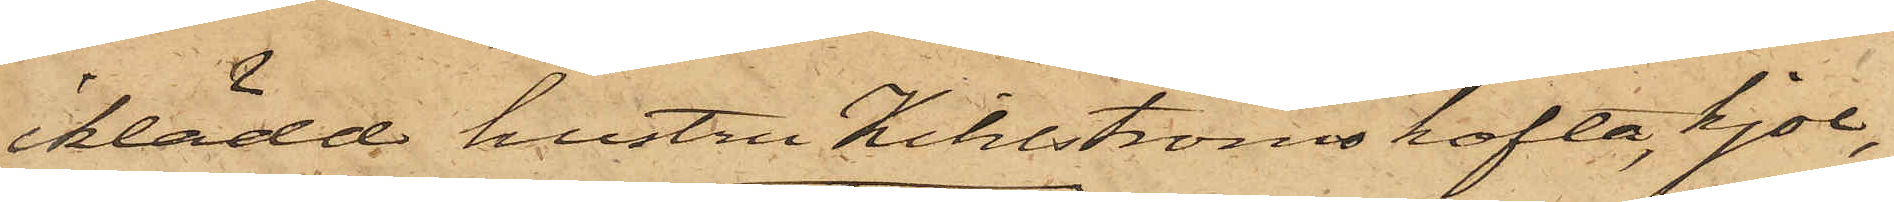iklädd hustru Kihlströms kofta, kjol,
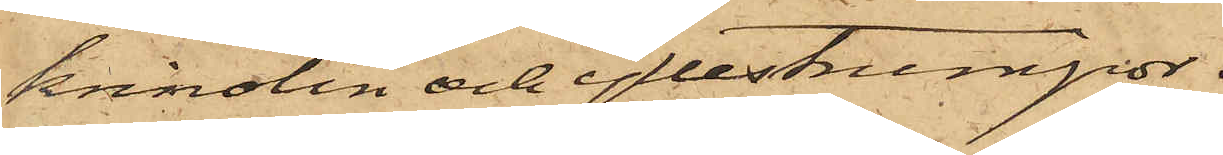krinolin och yllestrumpor.
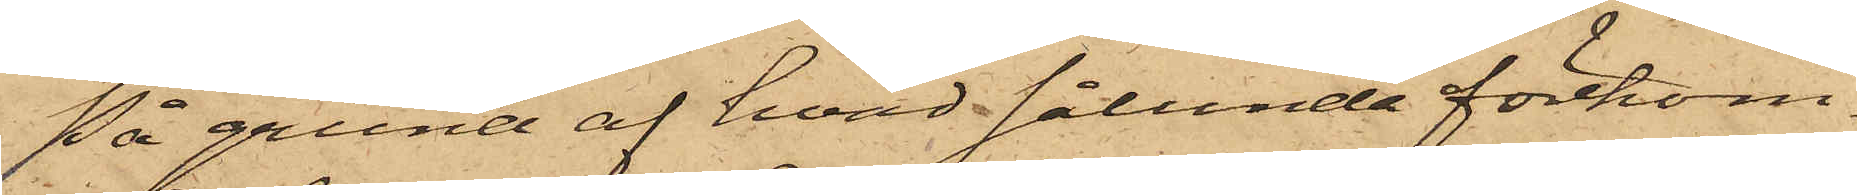På grund af hvad sålunda förekom¬
